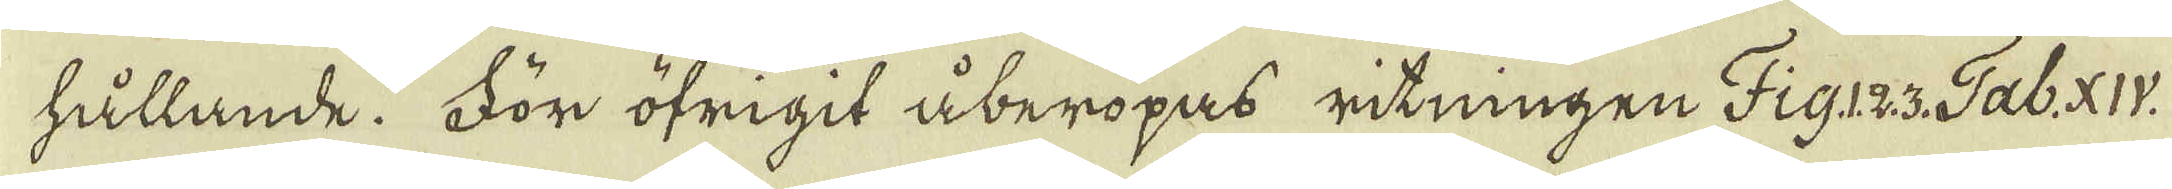hållande. För öfrigit åberopas ritningen Fig.1.2.3. Tab: XIV.
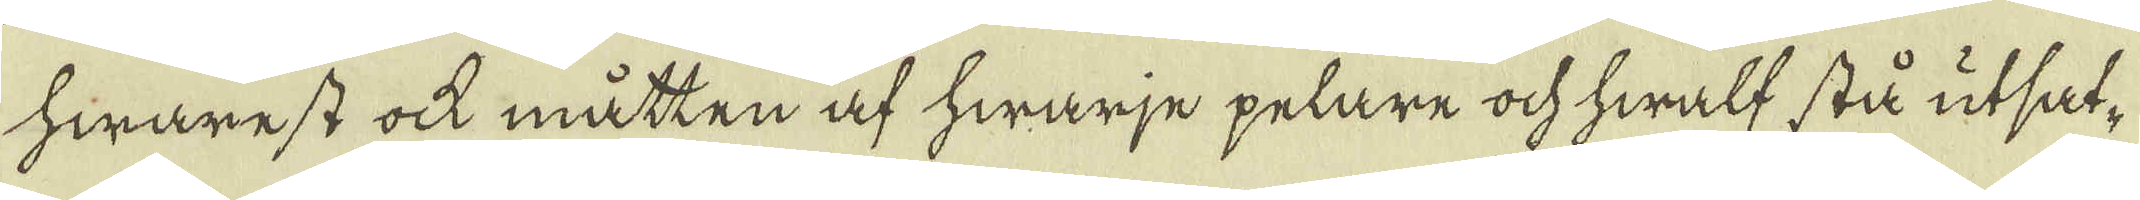hwarest ock måtten af hwarje pelare ock hwalf stå utsat-
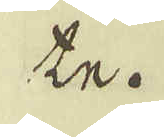te.
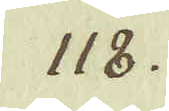118.
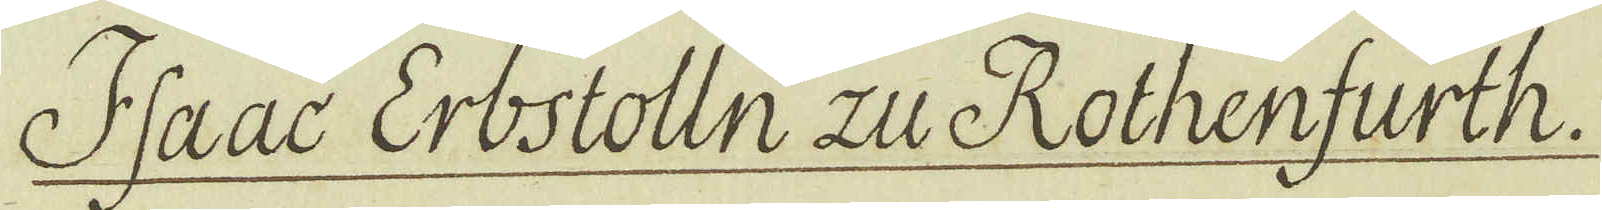Isaac Erbstolln zu Rothenfurth.
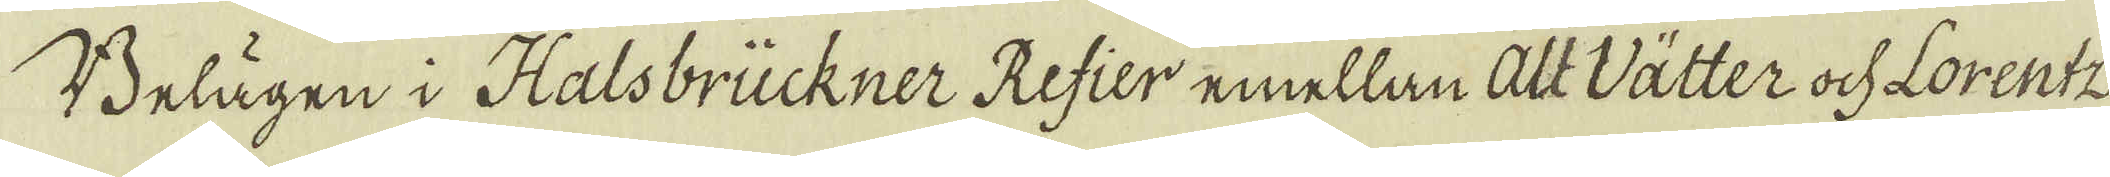Belägen i Halsbrückner Refier emellan alt Vätter ock Lorentz
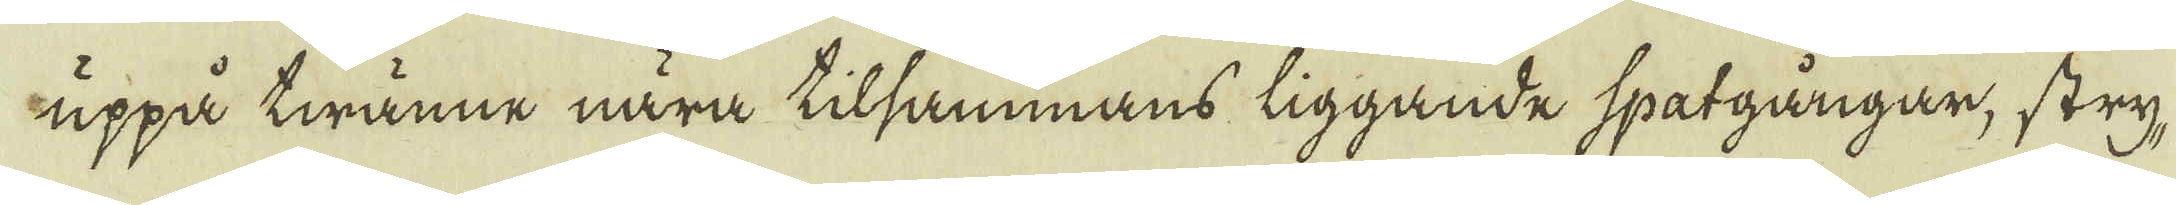uppå twänne nära tilsammans liggande spatgångar, stry-
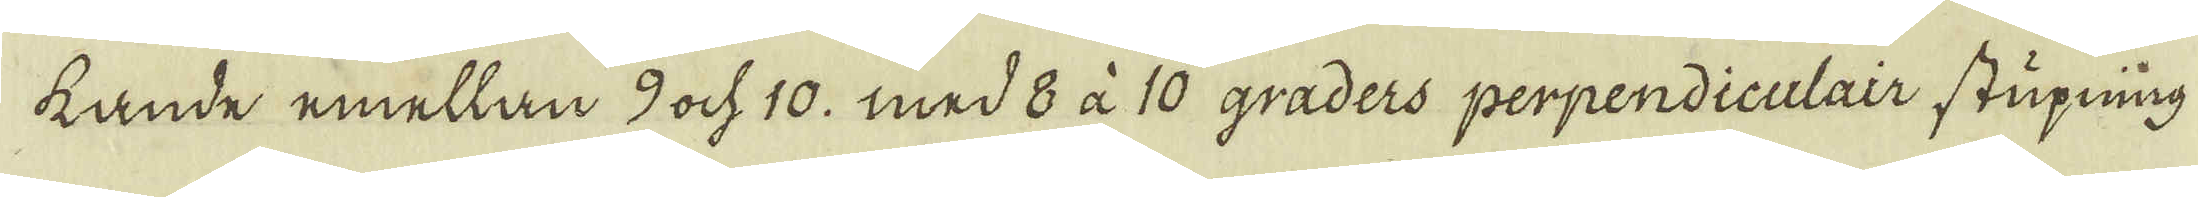kande emellan 9 och 10. med 8 à 10 graders perpendiculair stupning
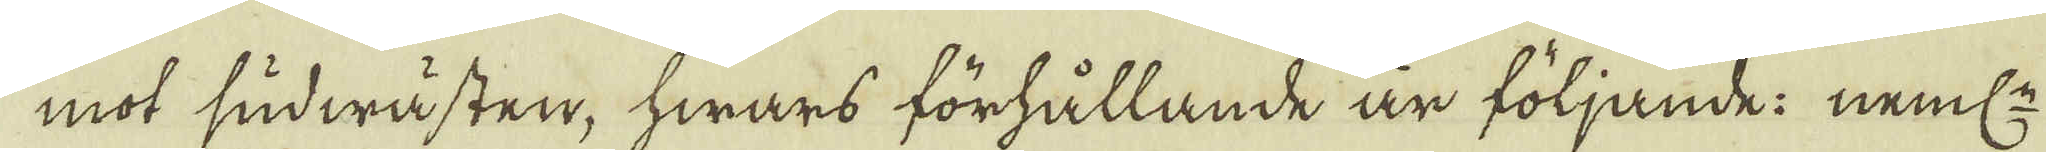mot sudwästen, hwars förhållande är följande: neml:n
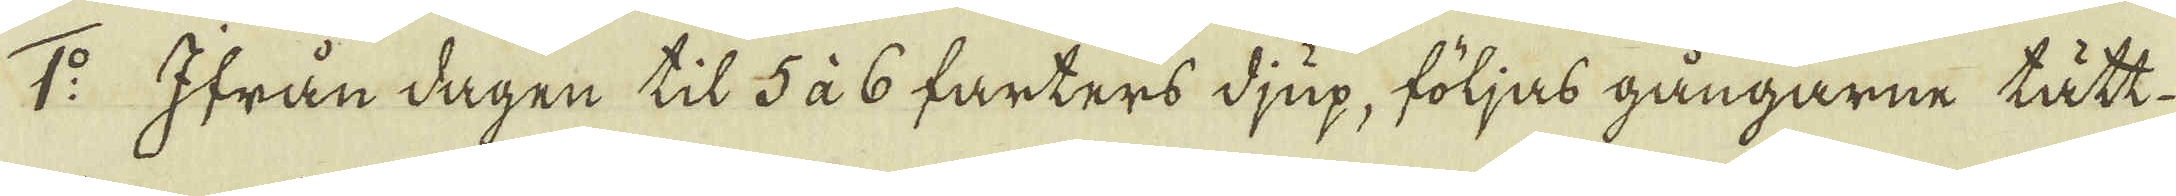1:o Ifrån dagen til 5 à 6 farters djup, följas gångarne tätt
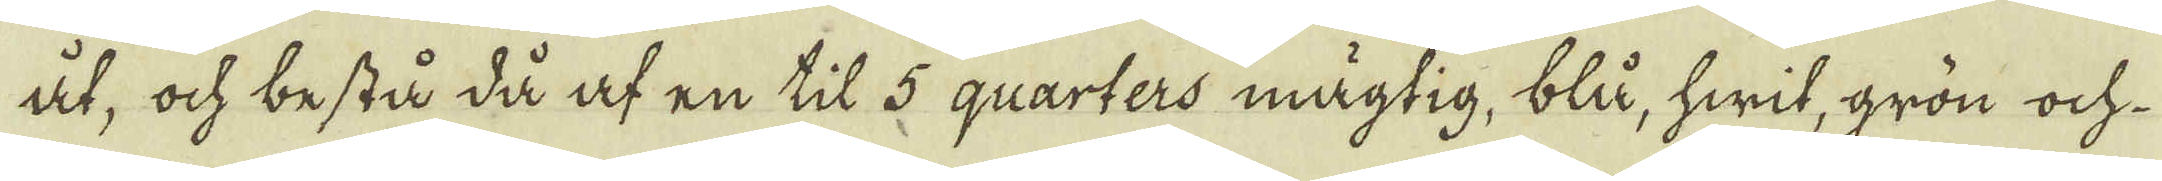åt, ock bestå då af en til 5 quarters mägtig, blå, hwit, grön och
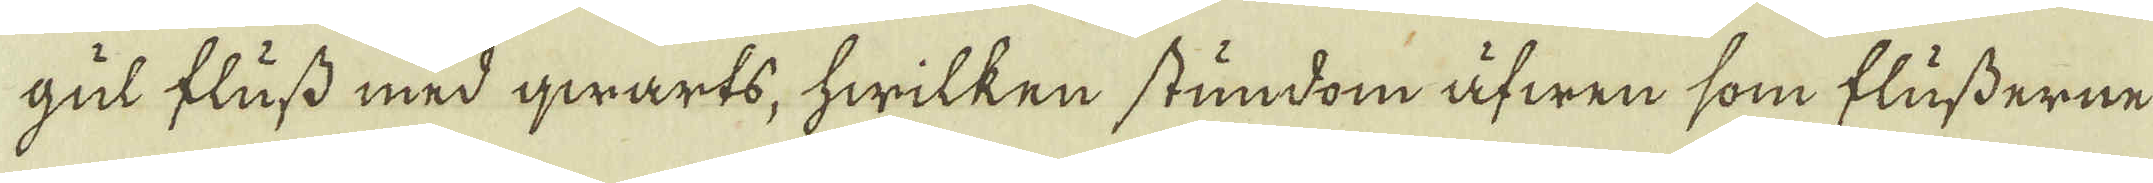gul fluss med qwarts, hwilken stundom äfwen som flusserne
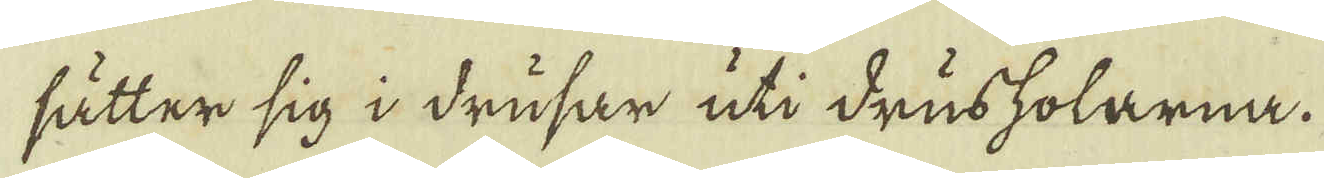sätter sig i drusar uti drusholarna.
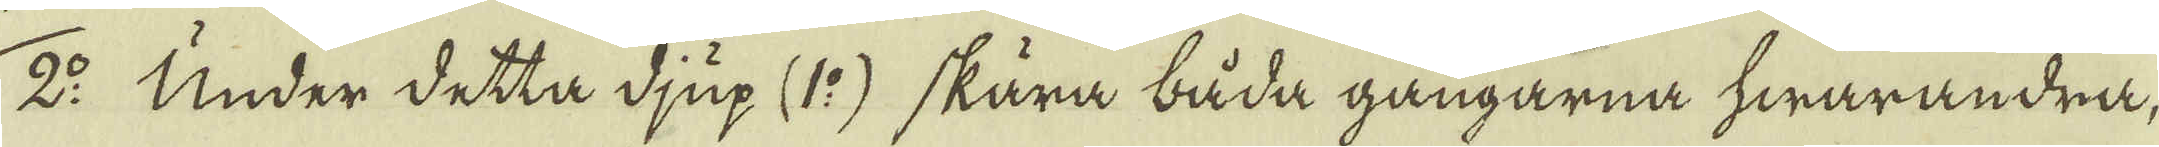2:o Under detta djup (1:o) skära båda gångarna hwarandra,
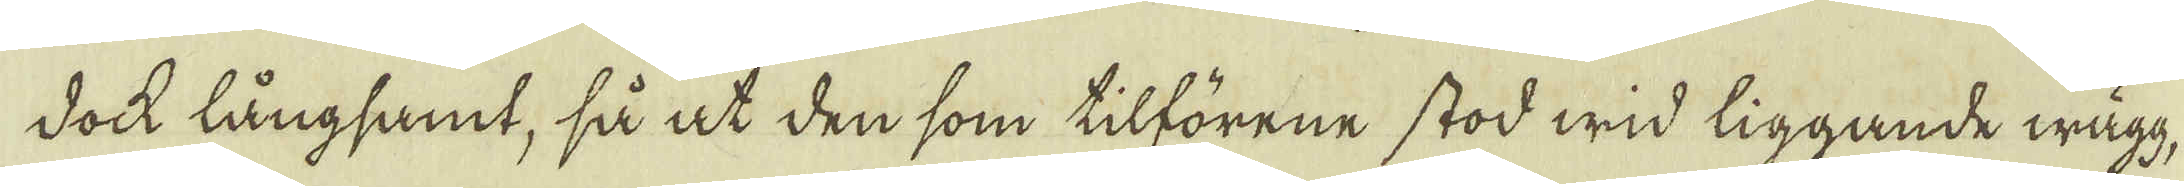dockh långsamt, så at den som tilförene stod wid liggande wägg,
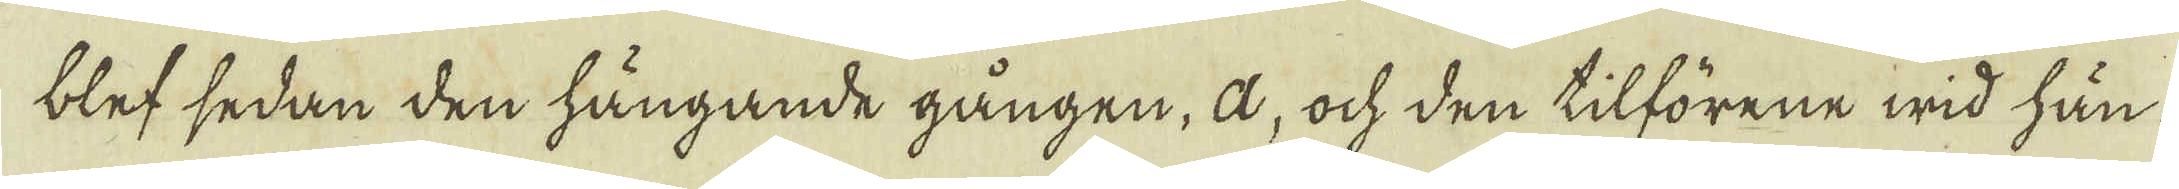blef sedan den hängande gången, a, och den tilförene wid hän-
